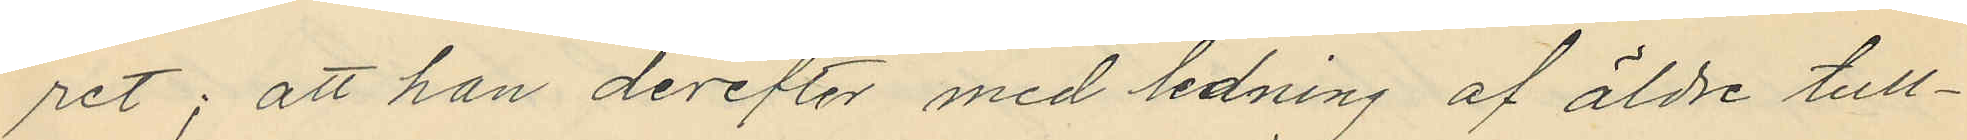ret; att han derefter med ledning af äldre tull¬
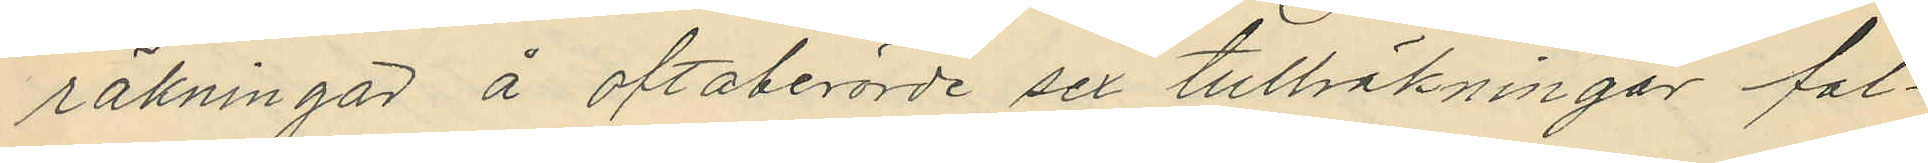räkningar å oftaberörde sex tullräkningar fal¬
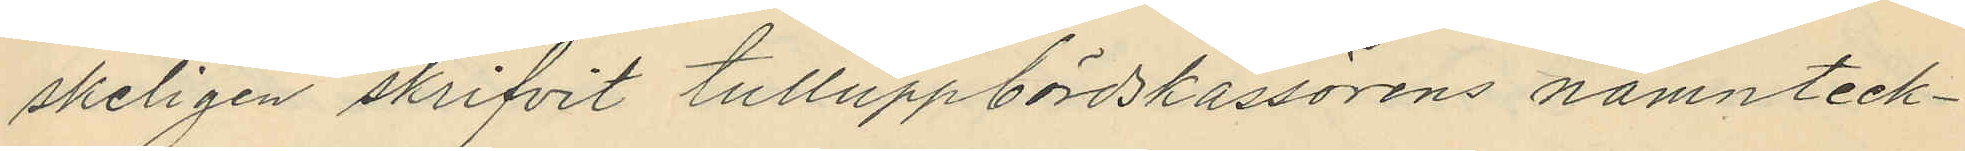skeligen skrifvit tulluppbördskassörens namnteck¬
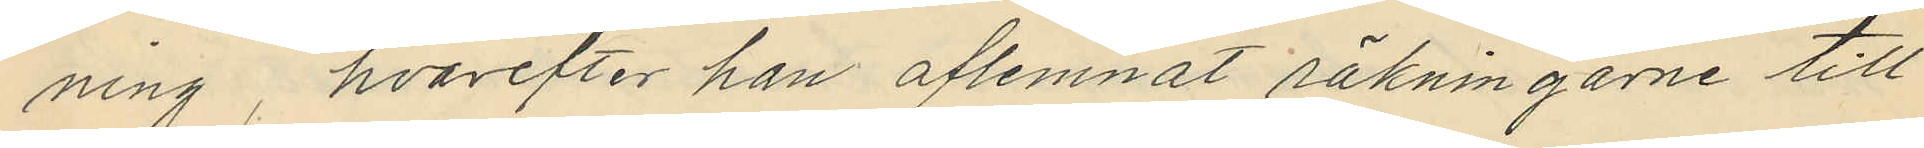ning, hvarefter han aflemnat räkningarne till
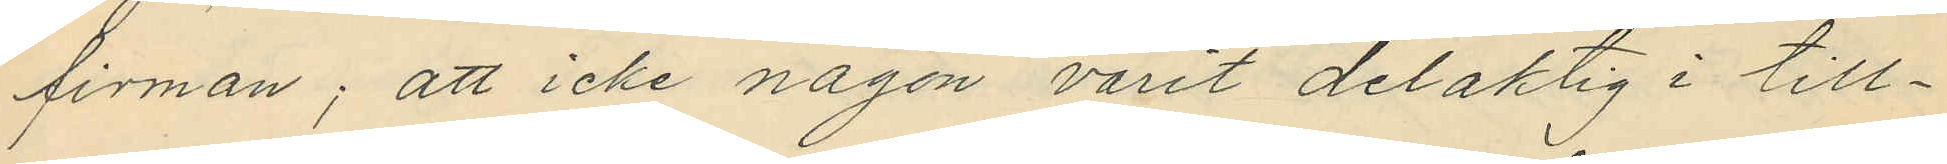firman; att icke någon varit delaktig i till¬
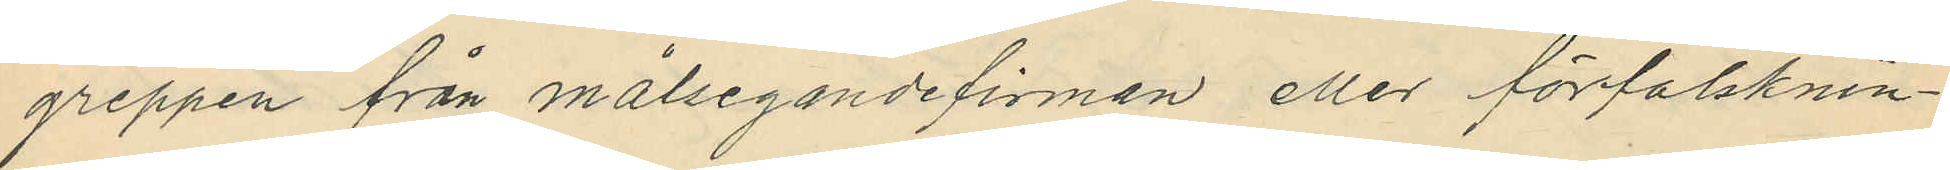greppen från målsegandefirman eller förfalsknin¬
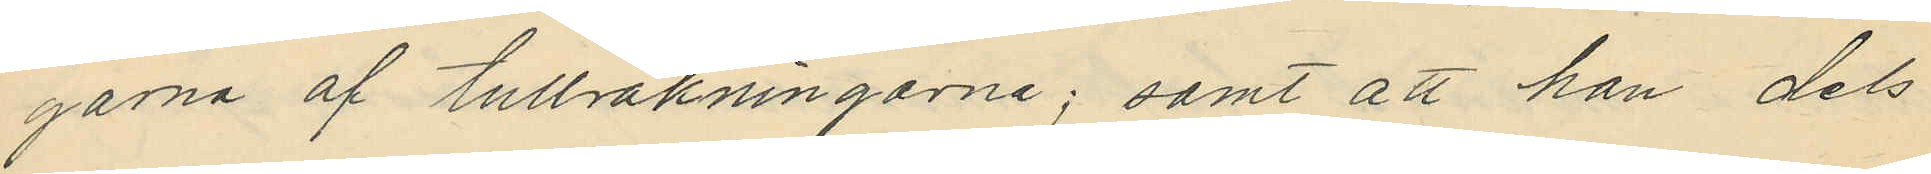garna af tullräkningarne; samt att han dels
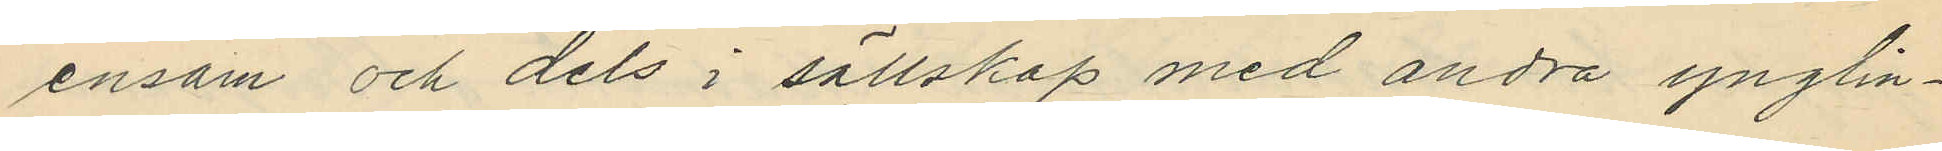ensam och dels i sällskap med andra ynglin¬
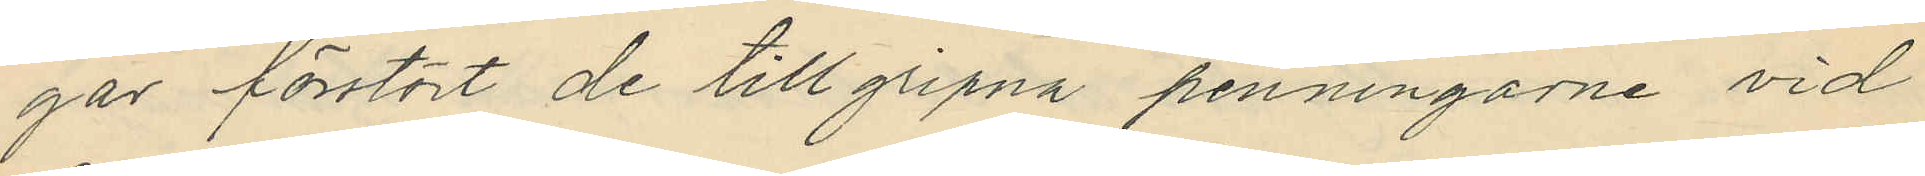gar förstört de tillgripna penningarne vid
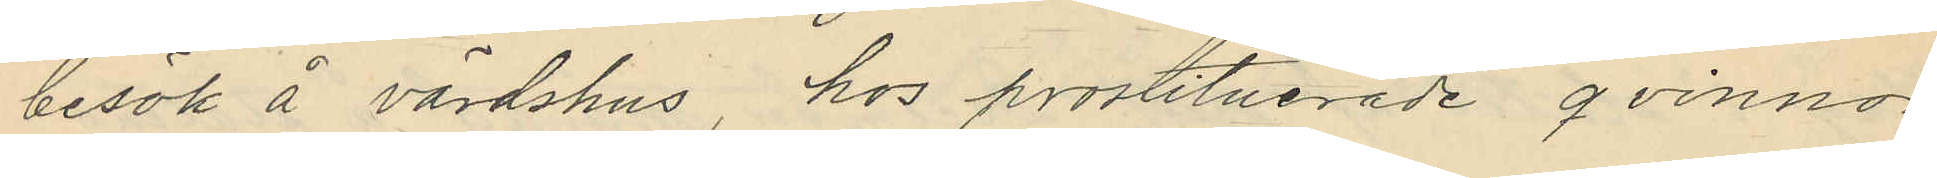besök å värdshus, hos prostituerade qvinnor
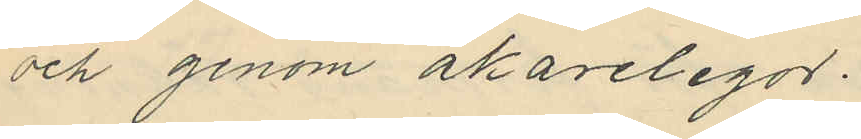och genom åkarelegor.
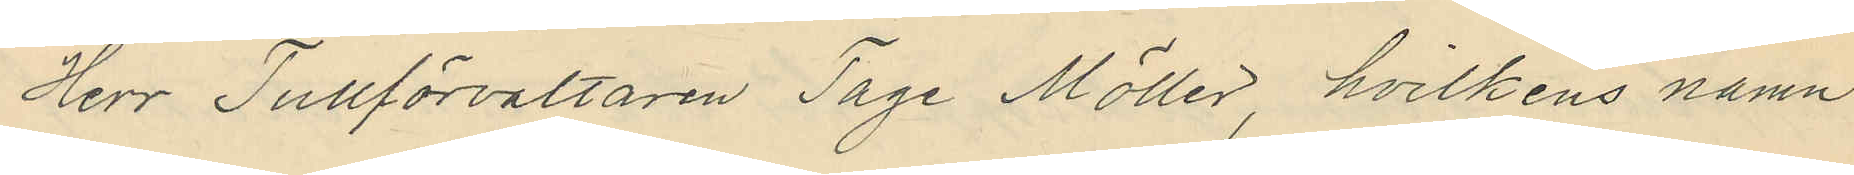Herr Tullförvaltaren Tage Möller, hvilkens namn
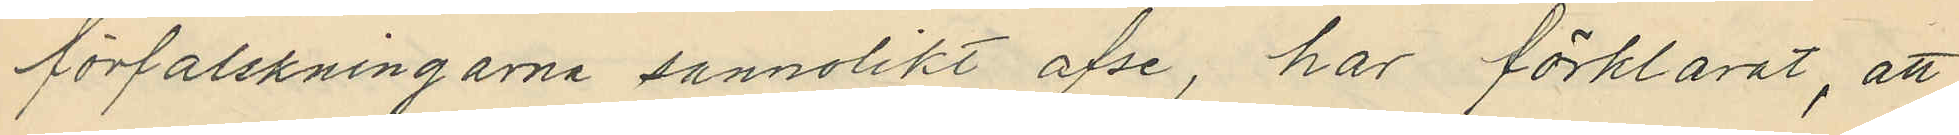förfalskningarna sannolikt afse, har förklarat, att
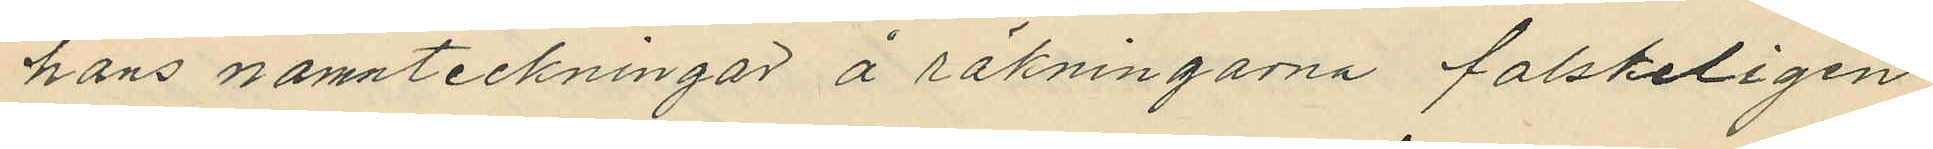hans namnteckningar å räkningarna falskeligen
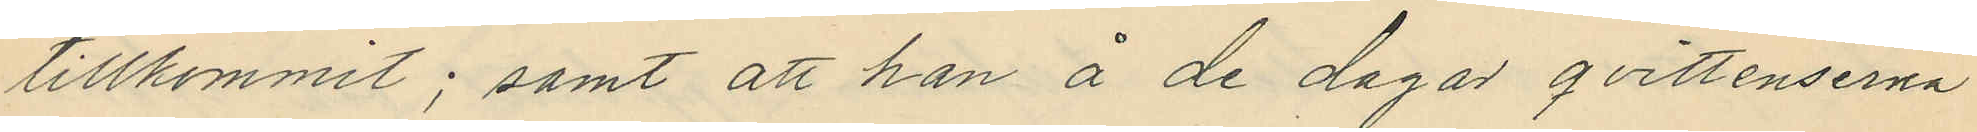tillkommit; samt att han å de dagar qvittenserna
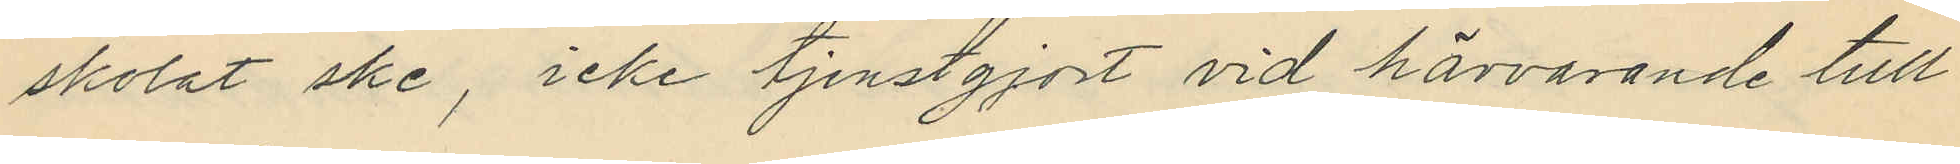skolat ske, icke tjenstgjort vid härvarande tull
